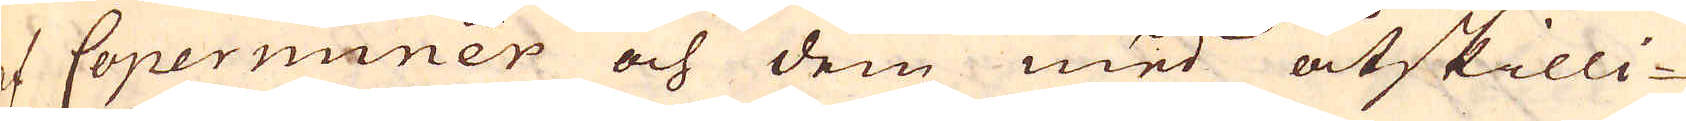of Coperminer och dem med åtskilli-
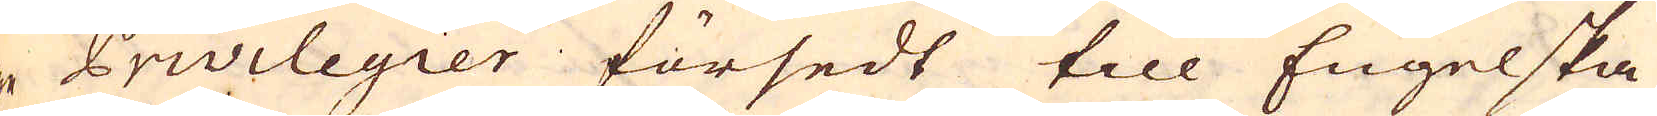ge Privilegier försedt till Engelska
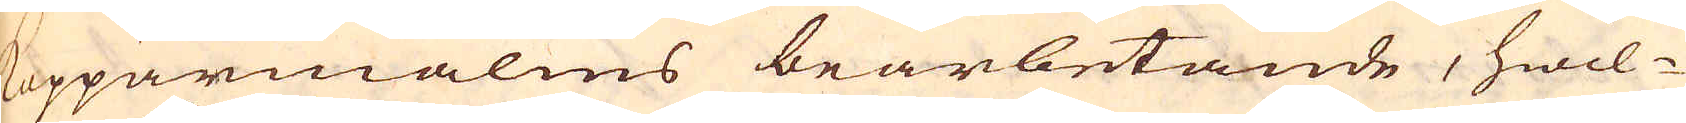Kopparmalms bearbetande, hwil-
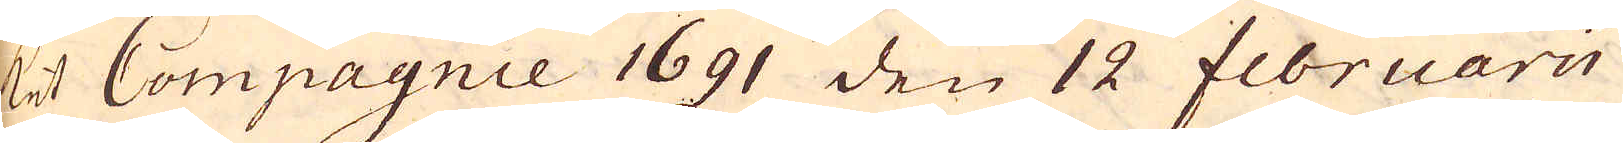ket Compagnie 1691 den 12 februarii
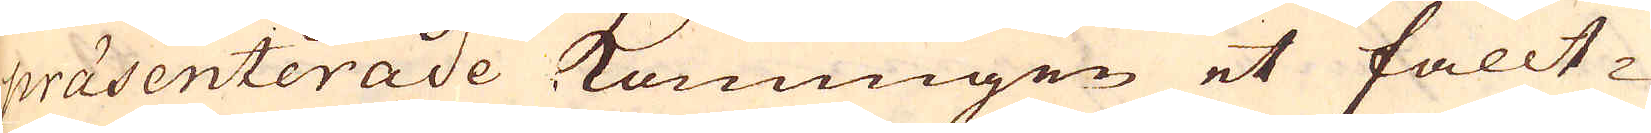praesenterade Konungen et fällt-
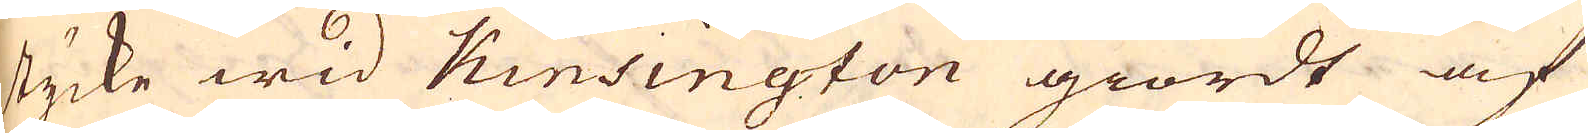stycke wid Kinsington giordt af
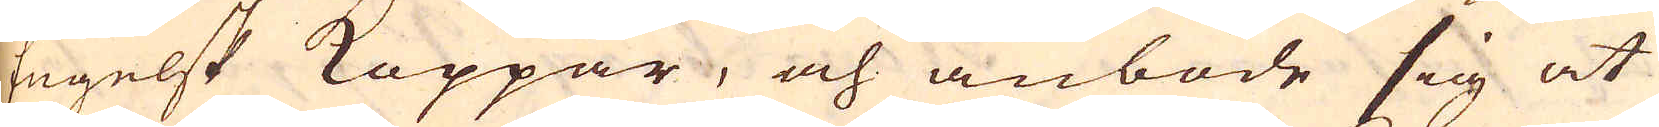Engelsk Koppar, och anböde sig at
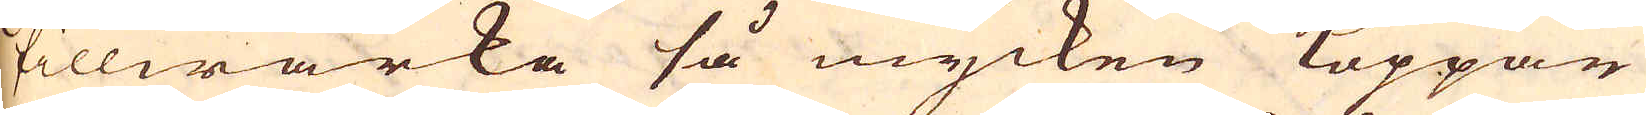tillwärka så mycken Koppar
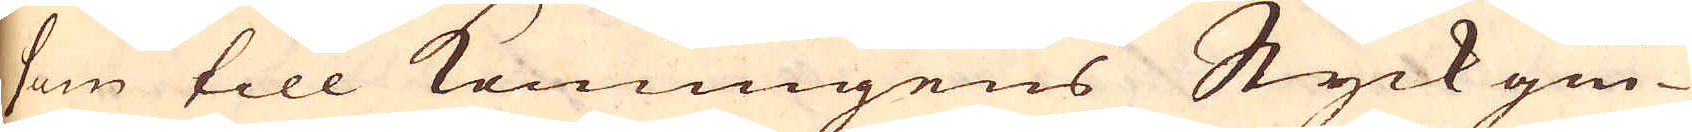som till Konungens Styckgiu-
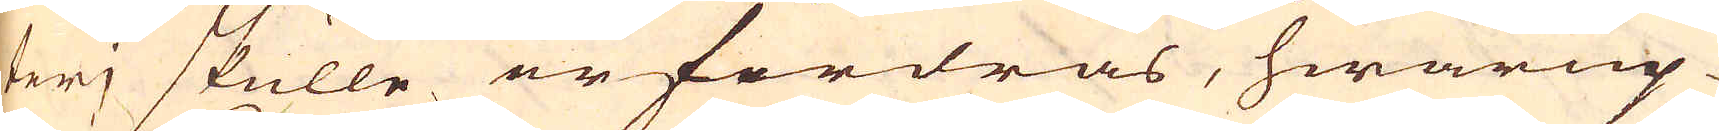terj skulle erfordras, hwarup-
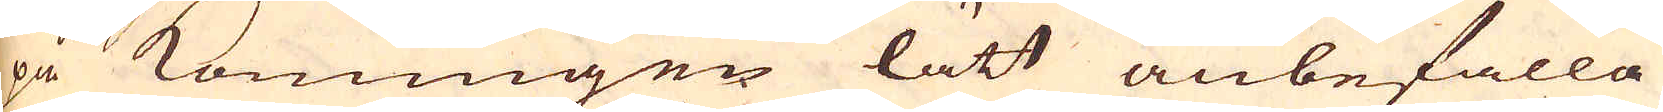på Konungen lätt anbefalla
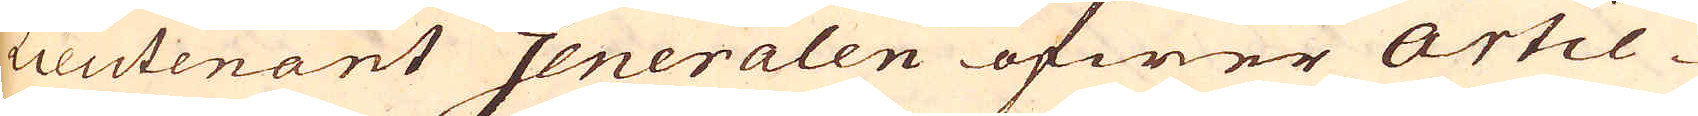Lieutenant Generalen öfwer Artil-
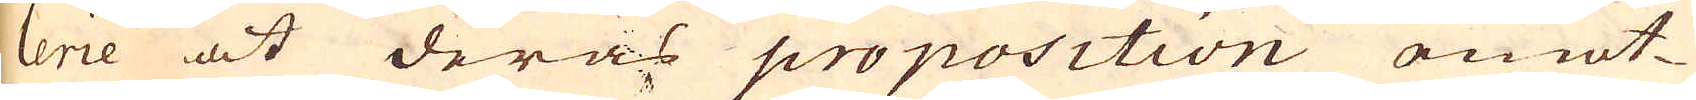lerie at deras proposition emot-
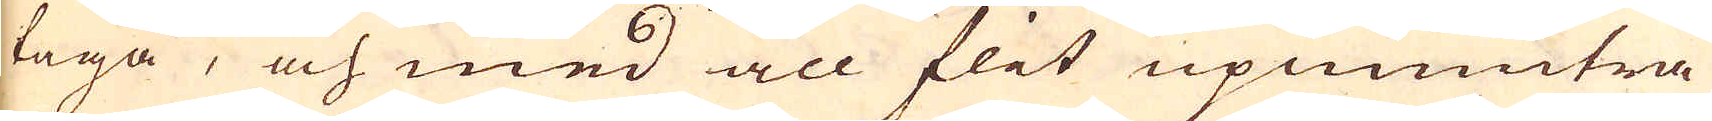taga, och med all flit upmuntra
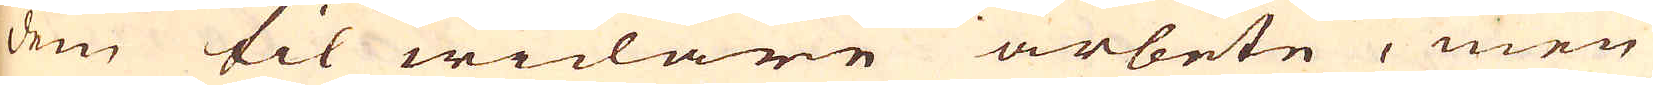dem til widare arbete, men
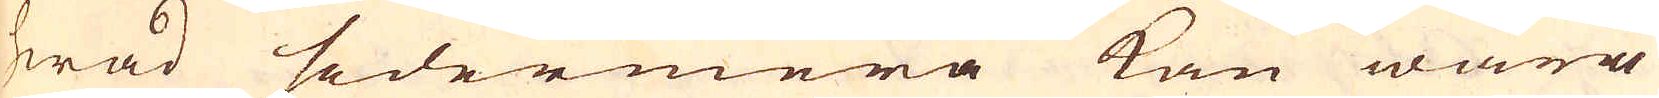hwad sedermera kan wara
